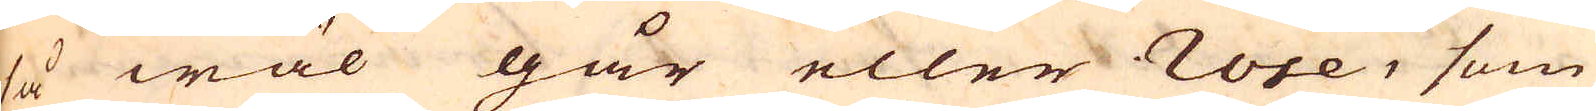så wäl går eller rose, som
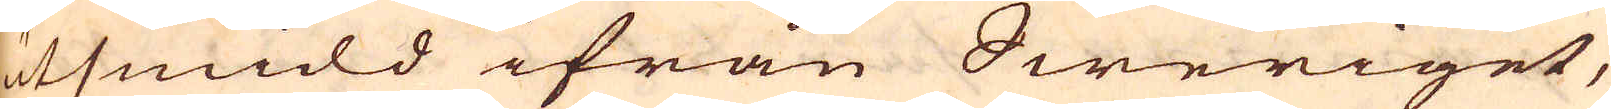utsmidd ifrån Sweriget,
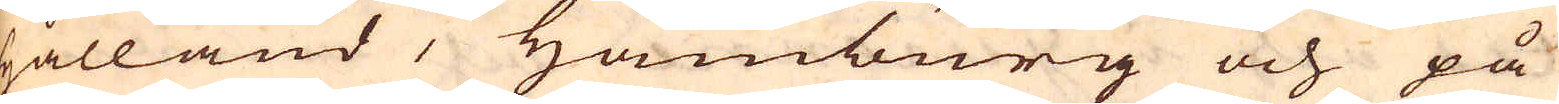Hålland, Hamburg och på
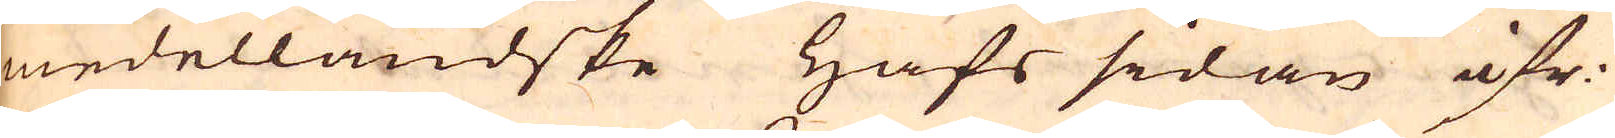medelländske hafs sidan öfr.
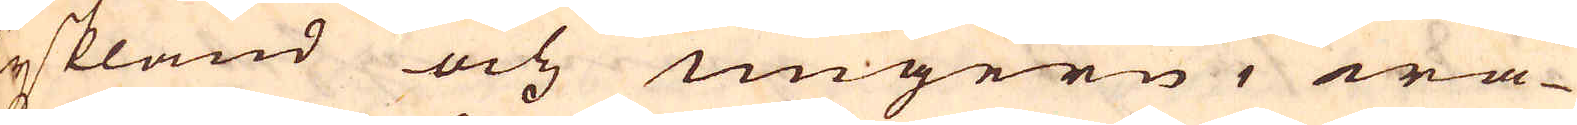Tyskland och Ungern, wa-
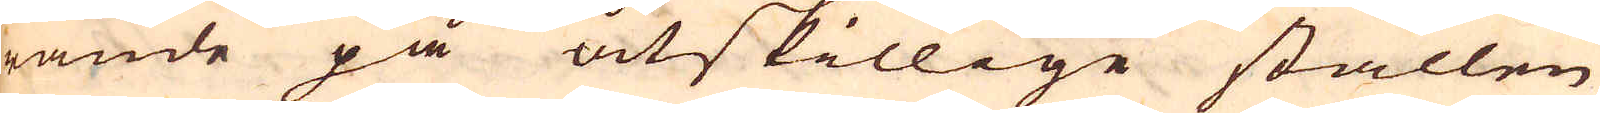rande på åtskillige ställen
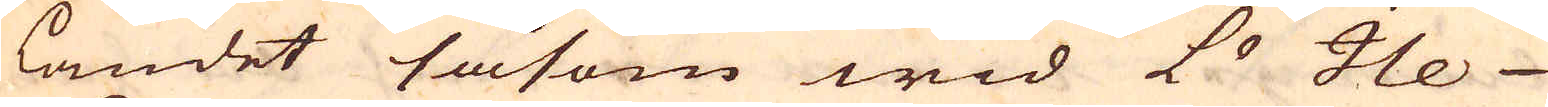i landet såsom wid Le Ile
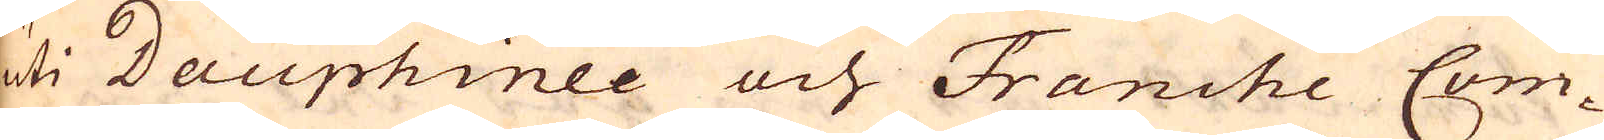uti Dauphinee och Franche Com-
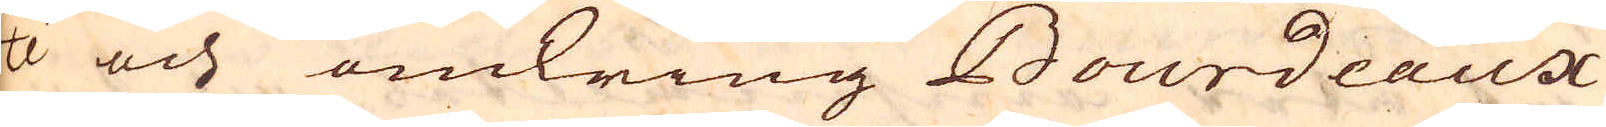té och omkring Bourdeaux
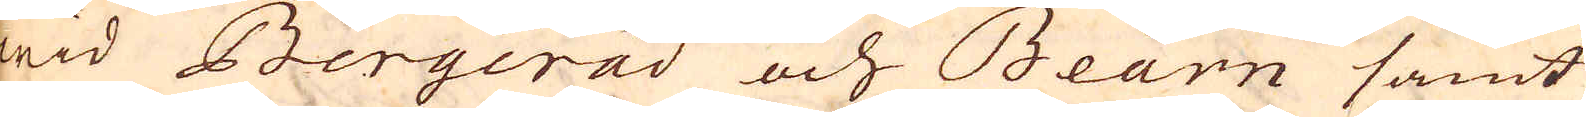wid Bergerad och Bearn samt
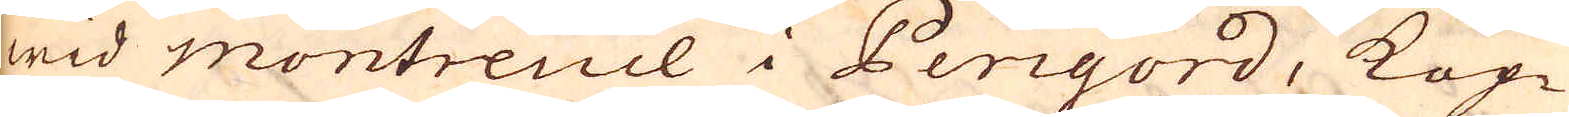wid Montreuil i Perigord, Kop-
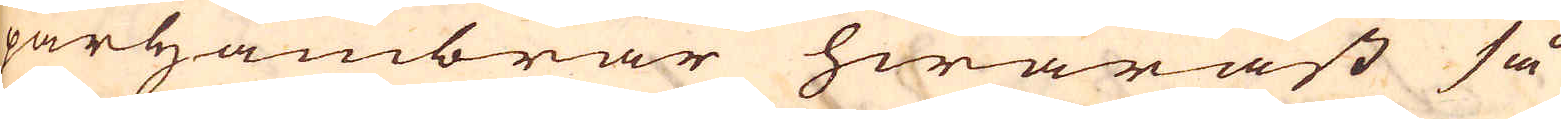parhambrar hwaräst så
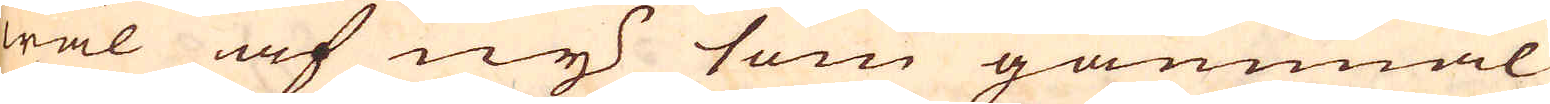wäl af ny som gammal
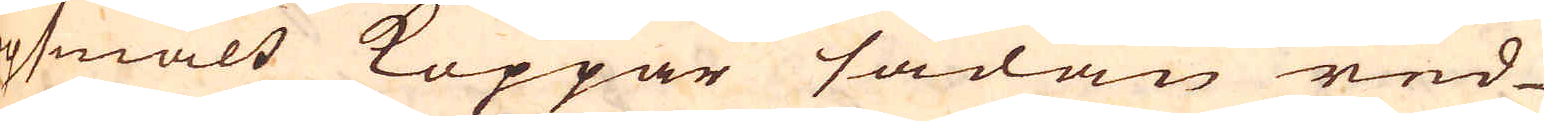opsmält Koppar sådan red-
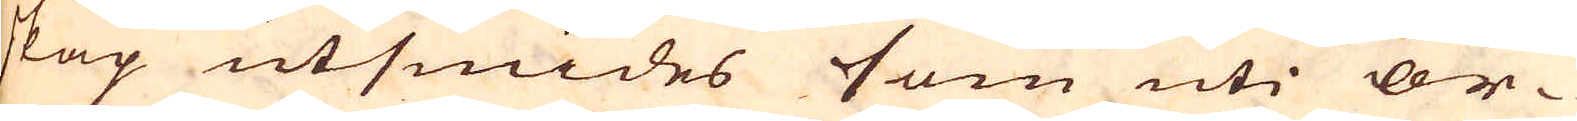skap utsmides som uti or-
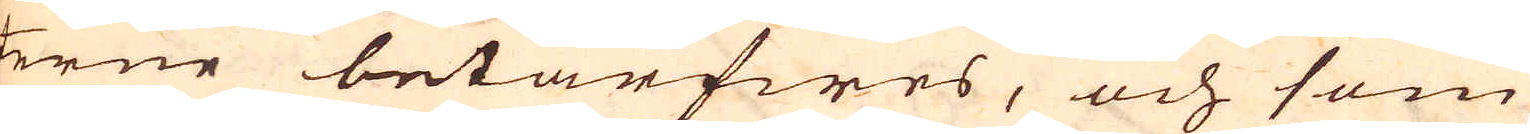terne betarfwes, och som
